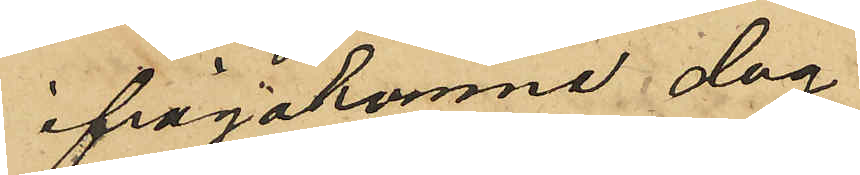ifrågakomne dag
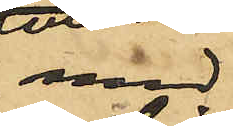med¬
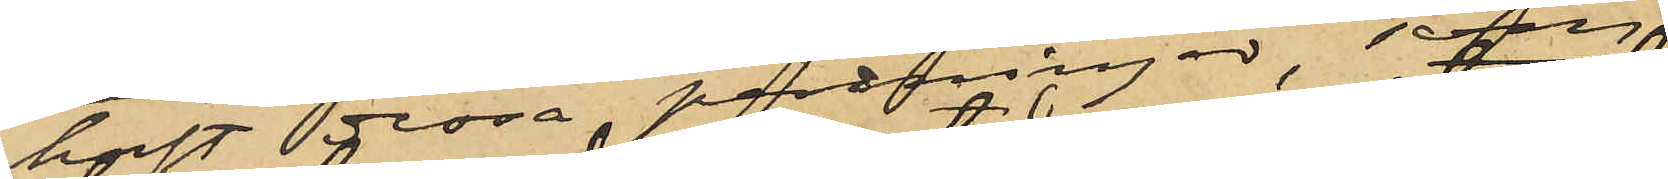haft stora penningar
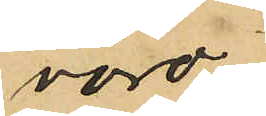voro
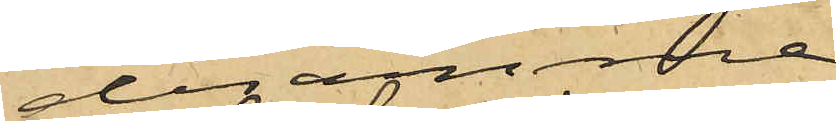desamme
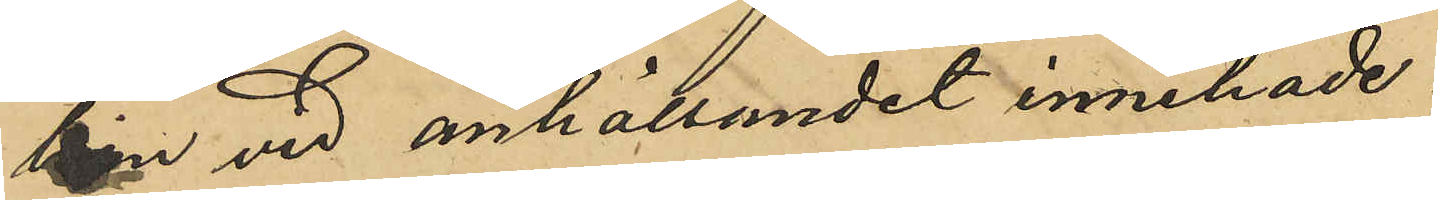han vid anhållandet innehade.
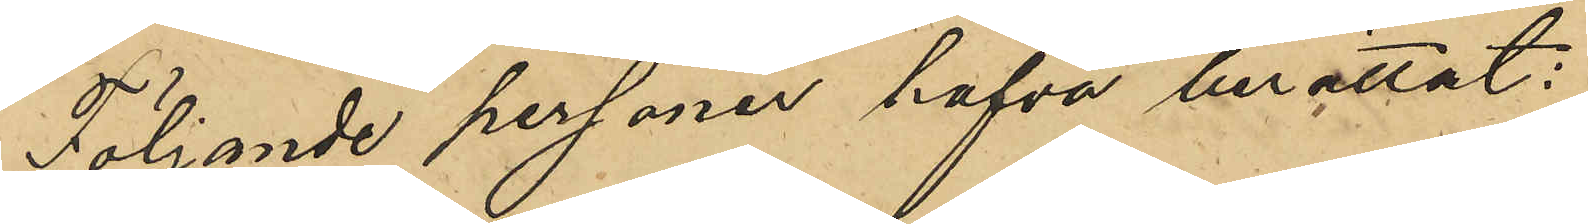Följande personer hafva berättat:
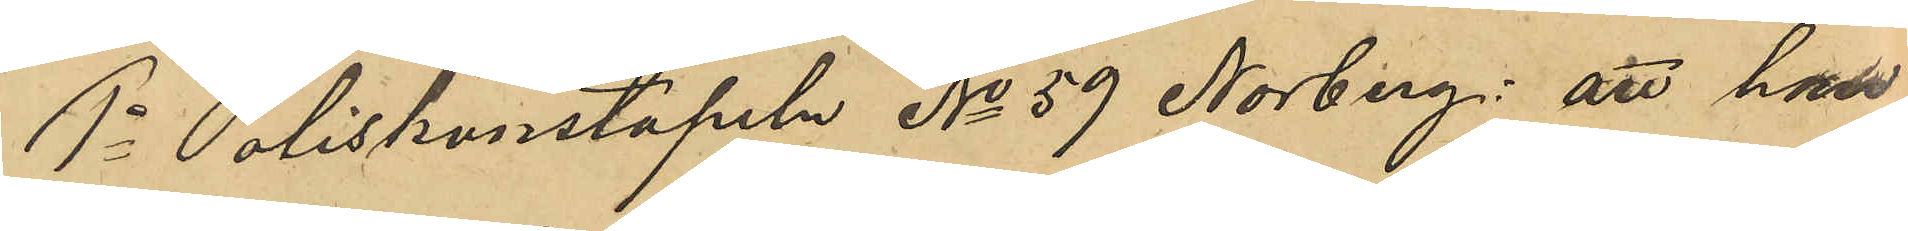1o Poliskonstapeln No 59 Norberg: att han
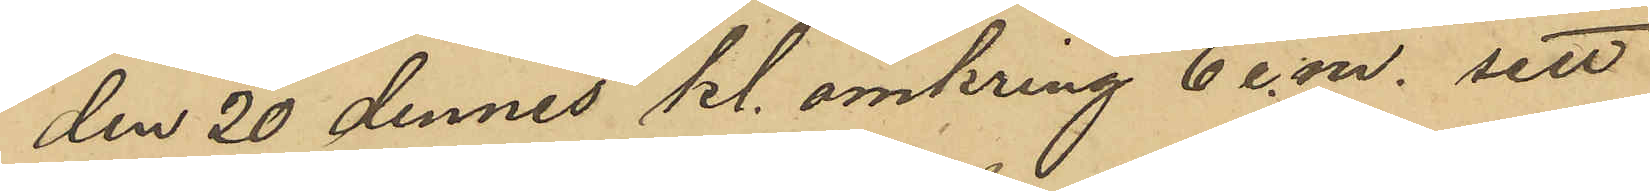den 20 dennes kl. omkring 6 e.m. sett
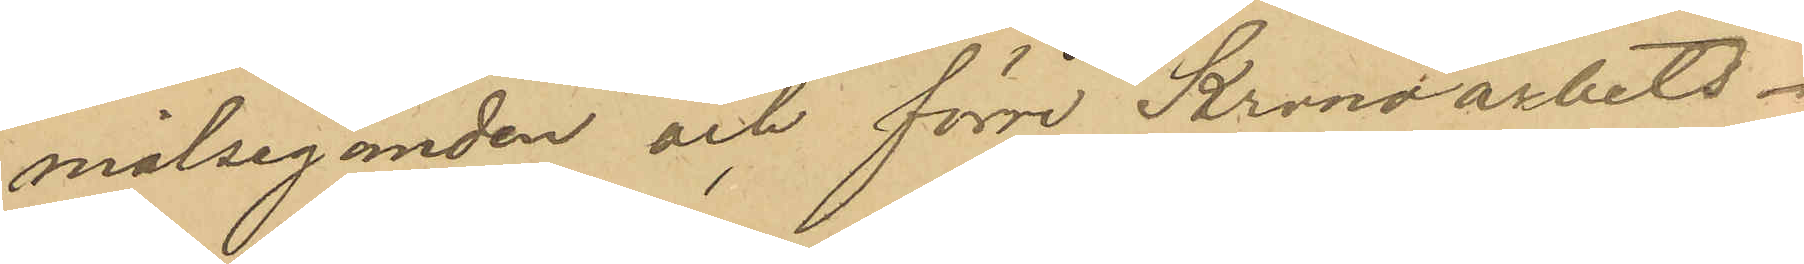målseganden och förre Kronoarbets¬
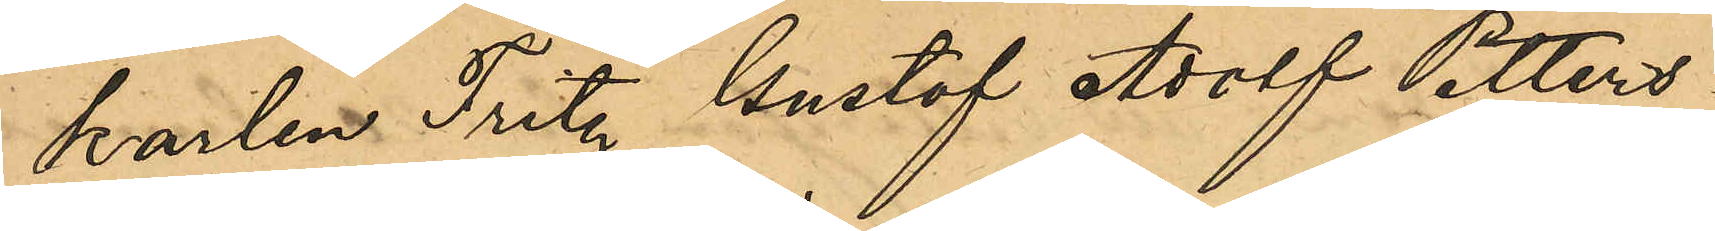karlen Fritz Gustaf Adolf Petters¬
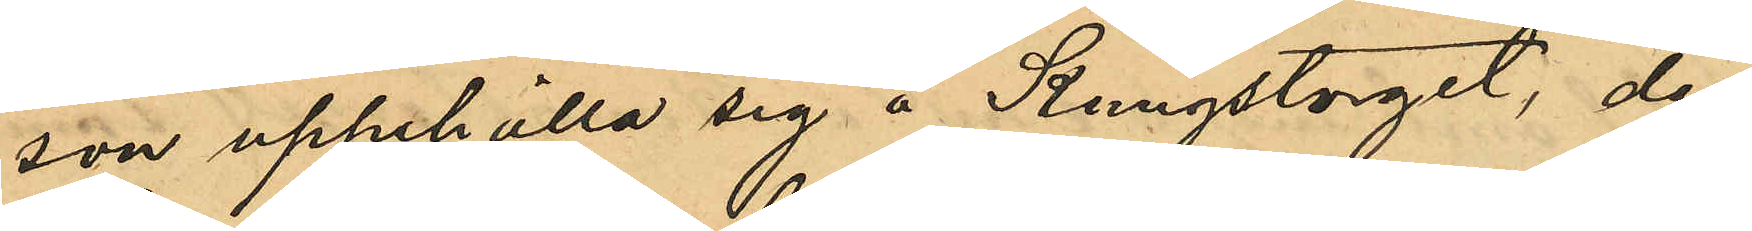son uppehålla sig å Kungstorget, der¬
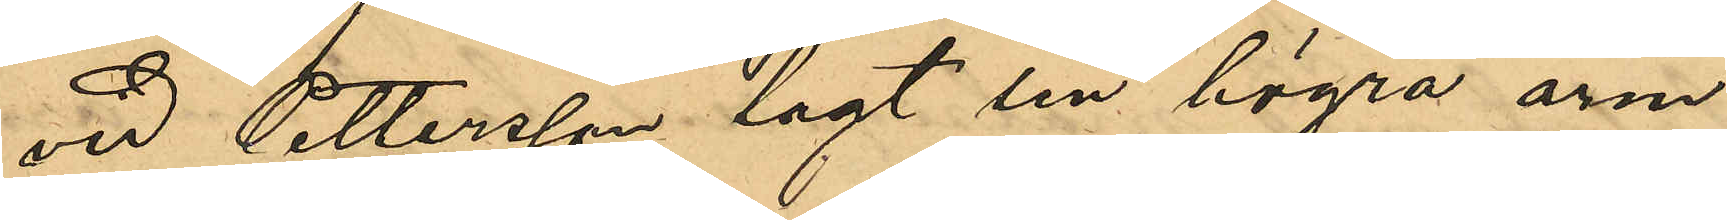vid Pettersson lagt sin högra arm
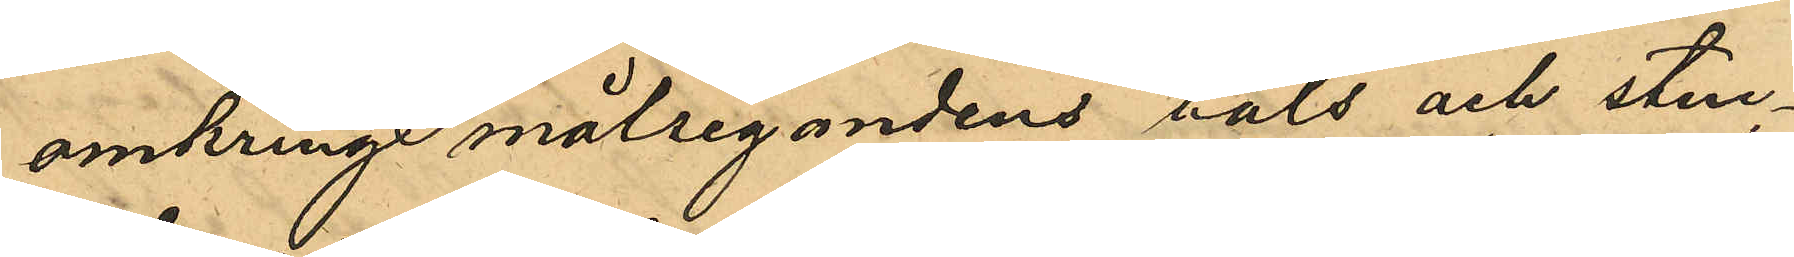omkring målsegandens hals och stuc¬
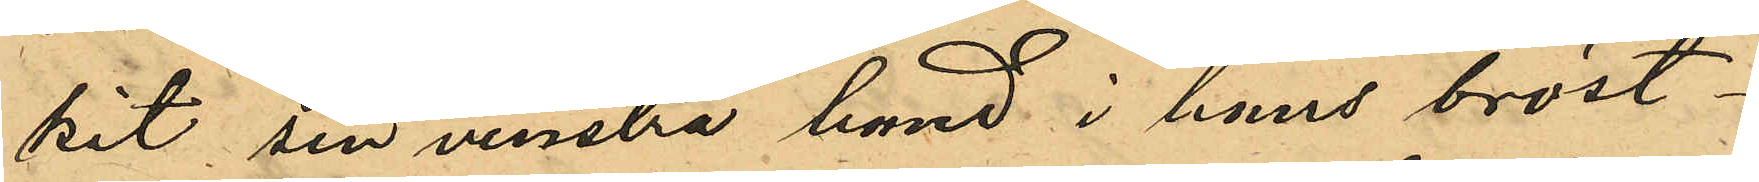kit sin venstra hand i hans bröst¬
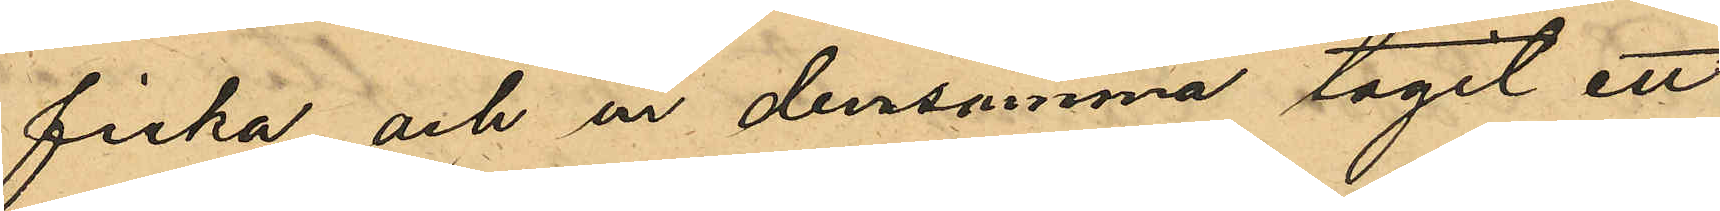ficka och ur densamma tagit ett
